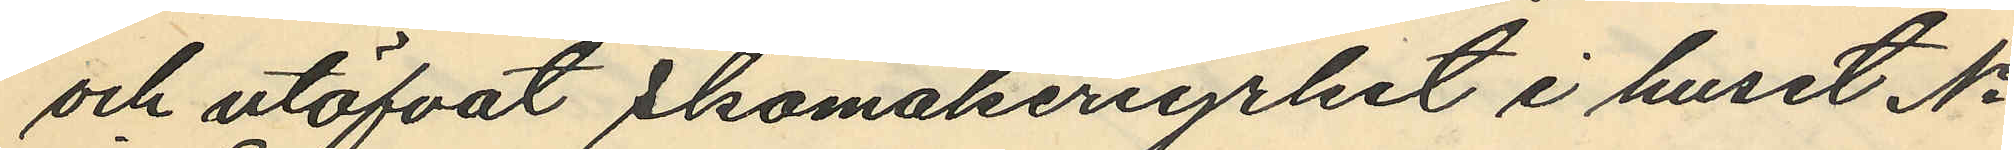och utöfvat Skomakeriyrket i huset No
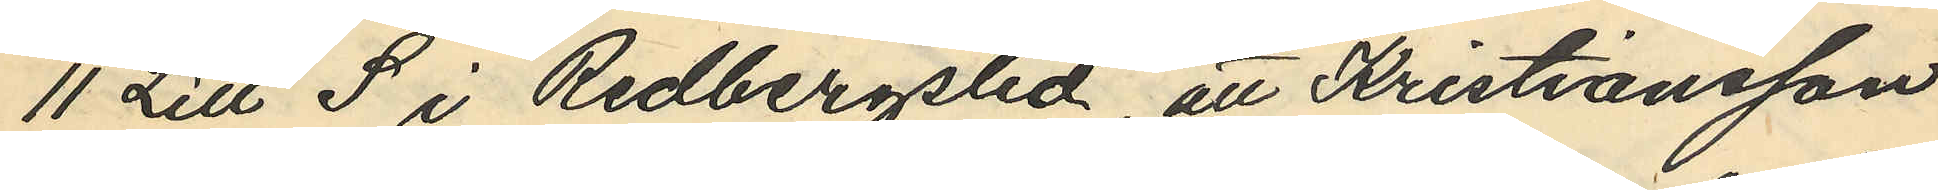11 Litt S i Redbergslid, att Kristiansson
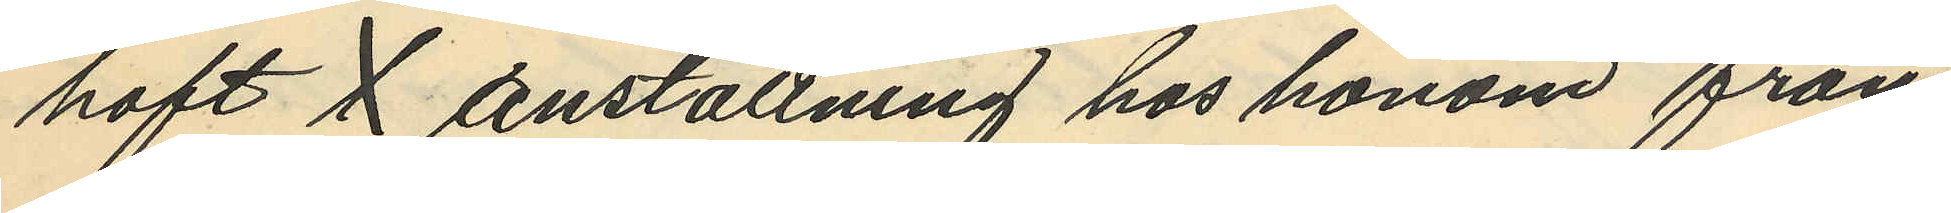haft i anställning hos honom från
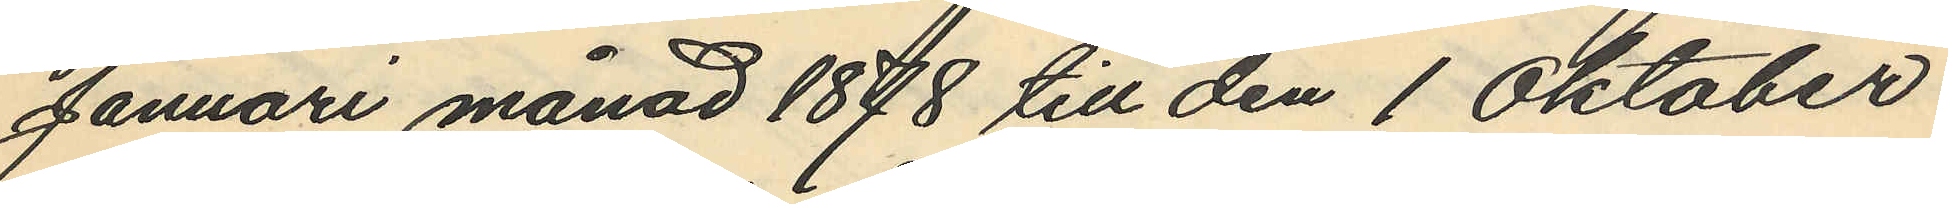Januari månad 1878 till den 1 Oktober
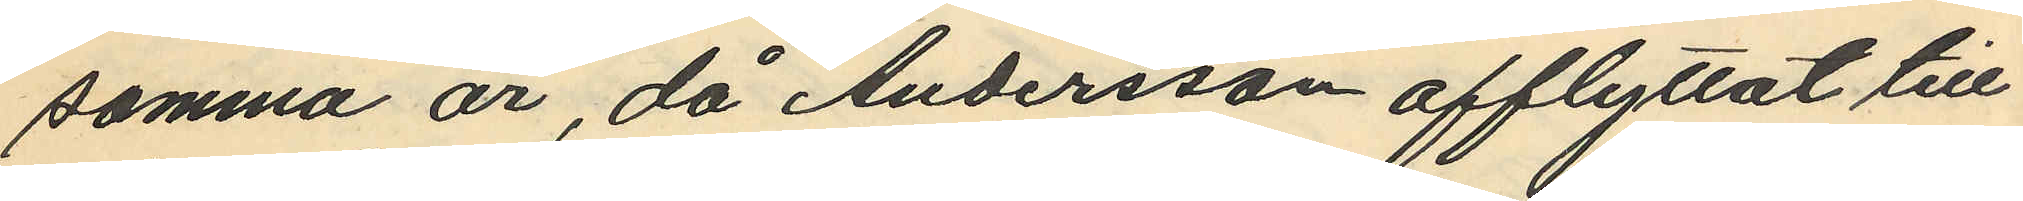samma år då Andersson afflyttat till
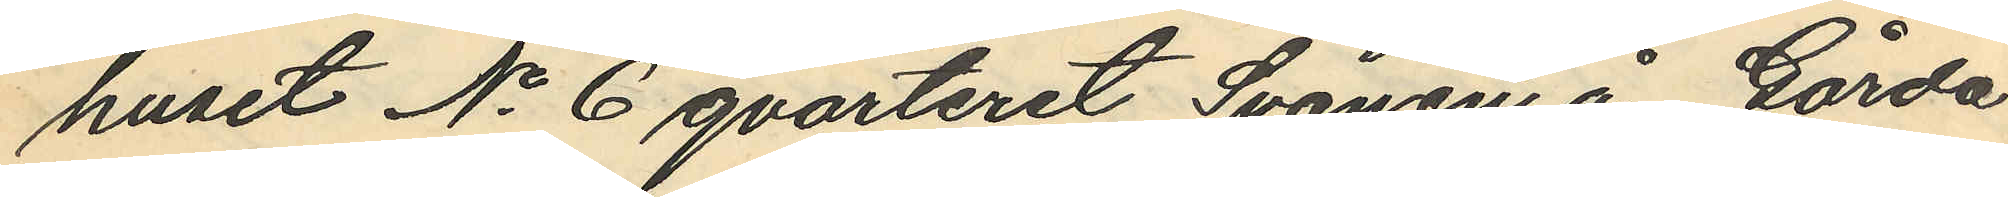huset No 6 qvarteret Svanen å Gårda
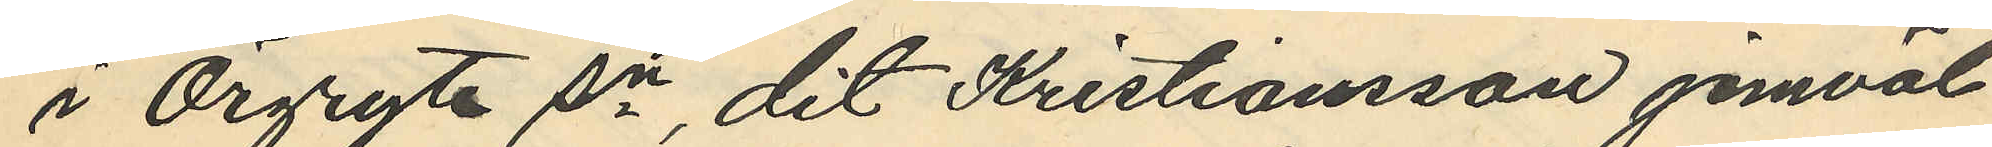i Örgryte sn dit Kristiansson jemväl
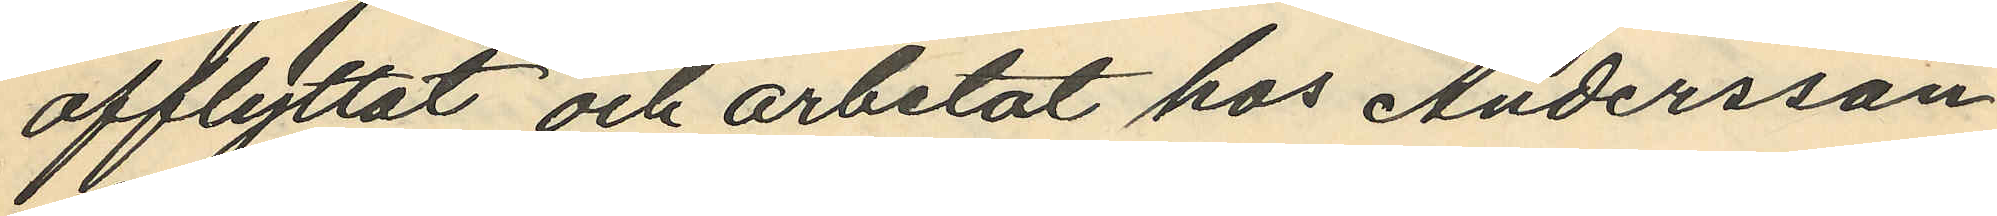afflyttat och arbetat hos Andersson
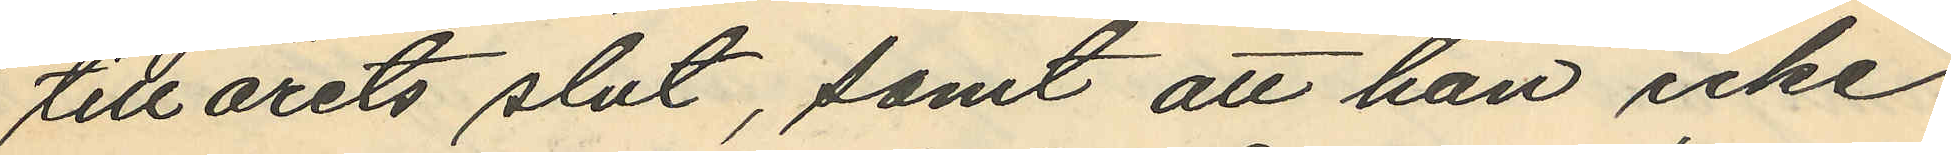tillårets slut, samt att han icke
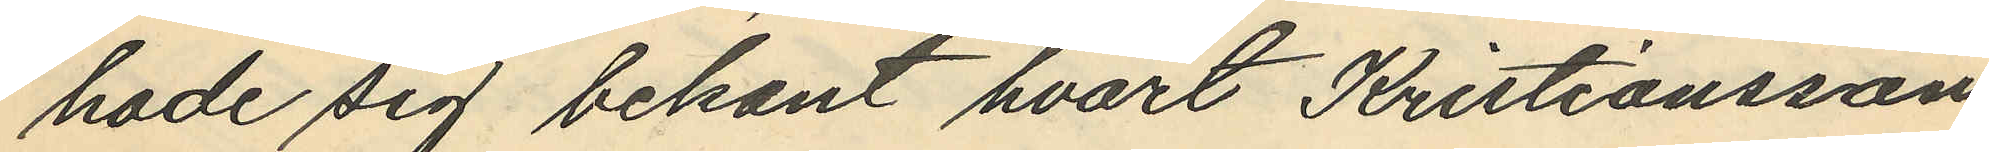hade sig bekant hvart Kristiansson
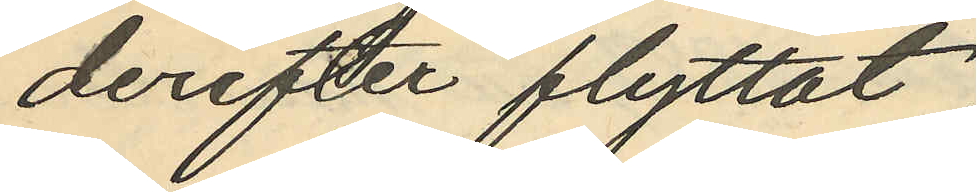derefter flyttat.
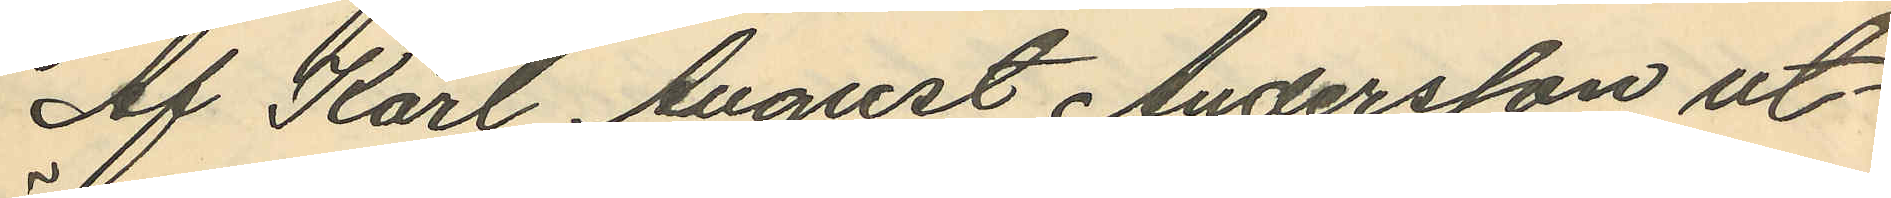Af Karl August Andersson ut¬
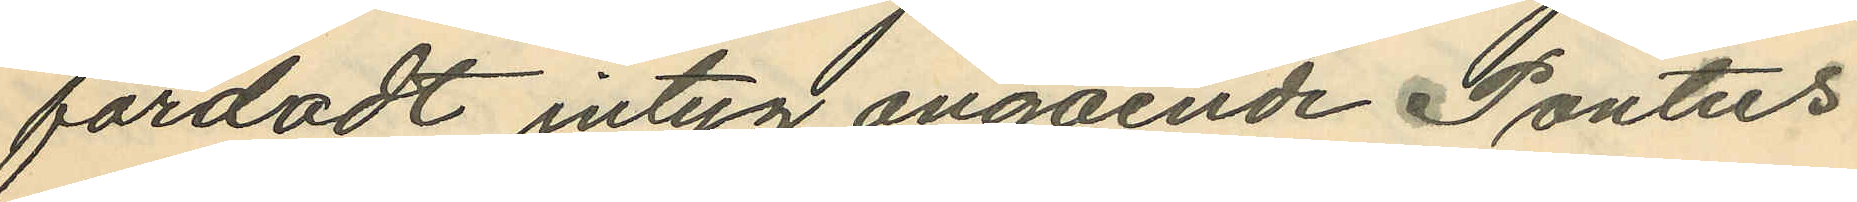färdadt intyg angående Pontus
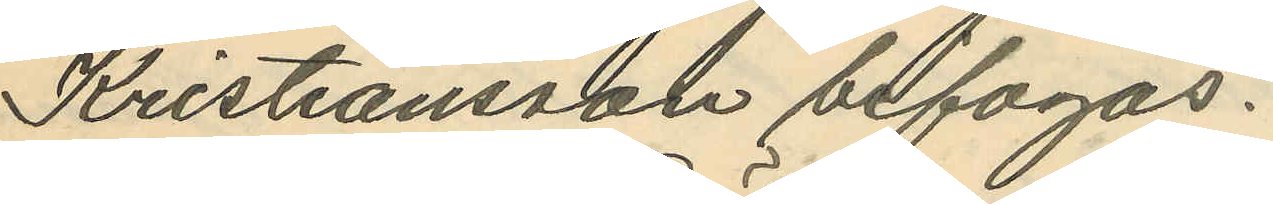Kristiansson bifogas.
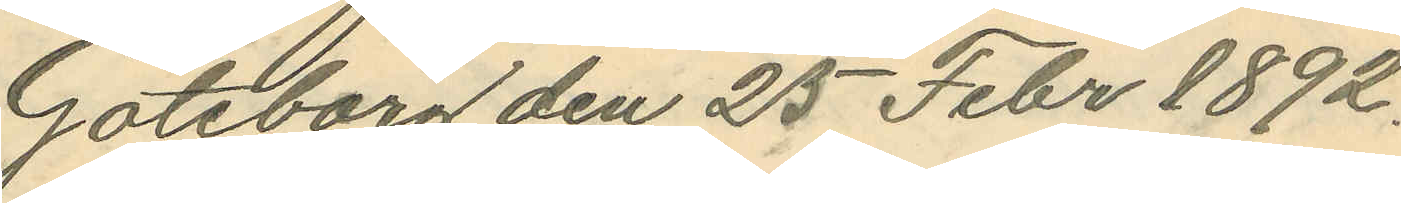Göteborg den 25 Febr 1892.
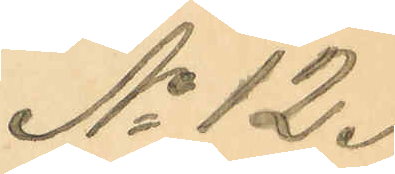No 12.
